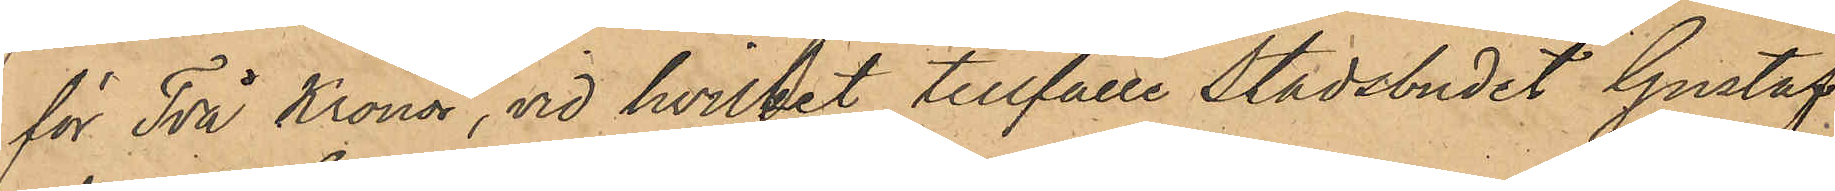för Två Kronor, vid hvilket tillfälle Stadsbudet Gustaf
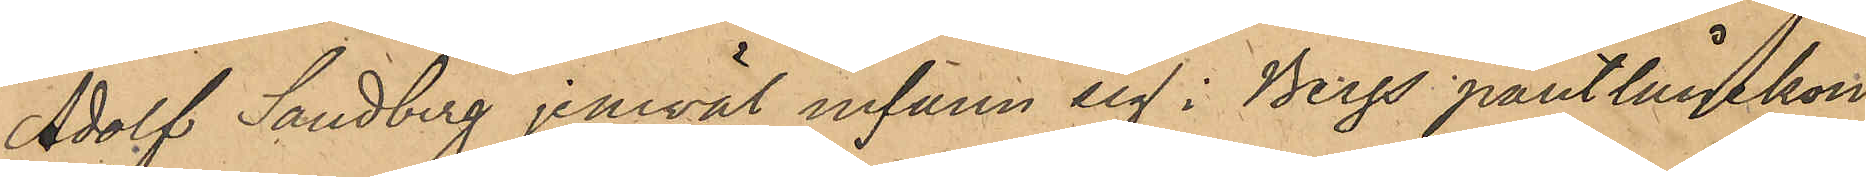Adolf Sandberg jemväl infann sig i Bergs Pantlånekon¬
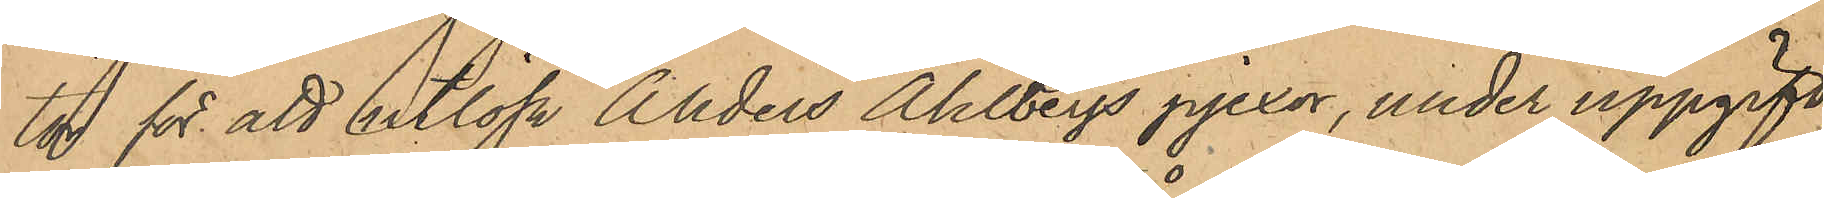tor för att utlösa Anders Ahlbergs pjexor, under uppgift,
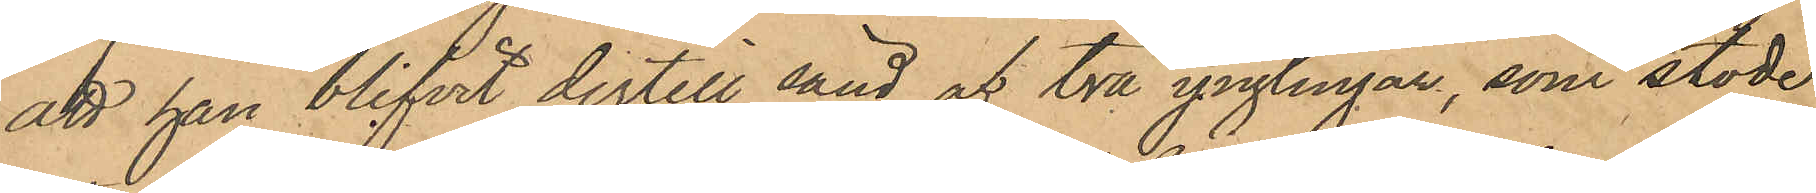att han blifvit dertill sänd af två ynglingar, som stode
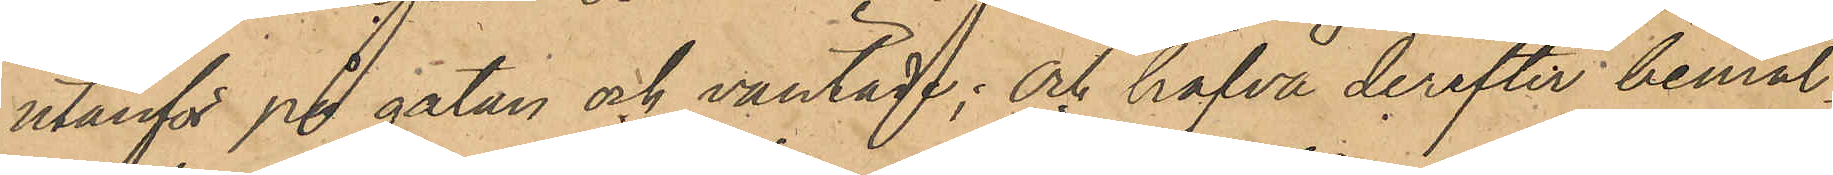utanför på gatan och väntade; och hafva derefter bemäl¬
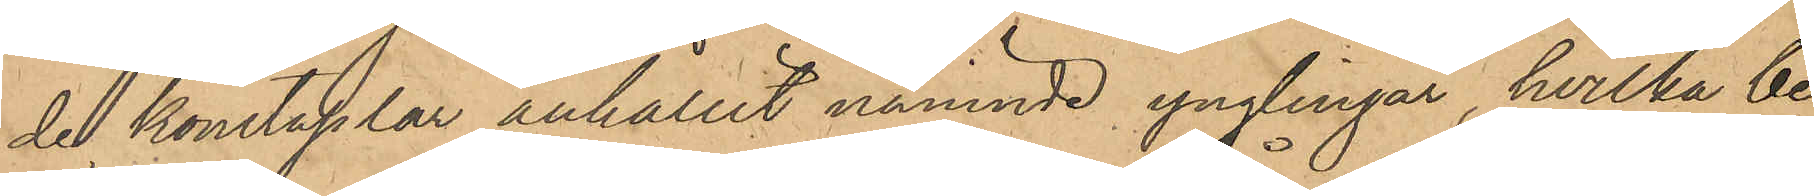de konstaplar anhållit nämnde ynglingar, hvilka be¬
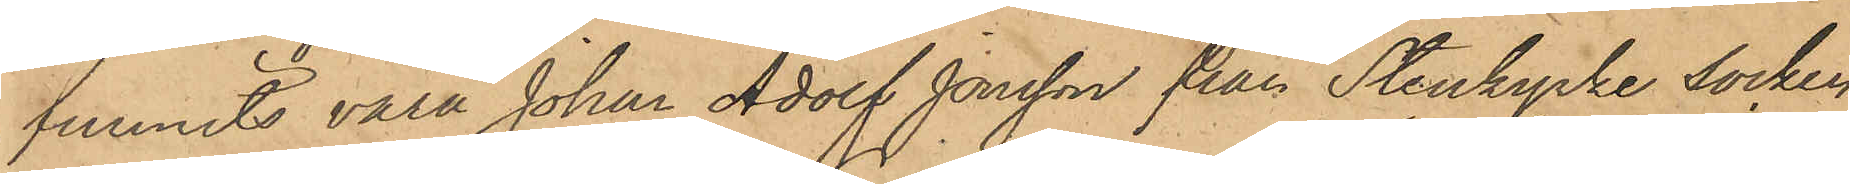funnits vara Johan Adolf Jonsson från Stenkyrke socken
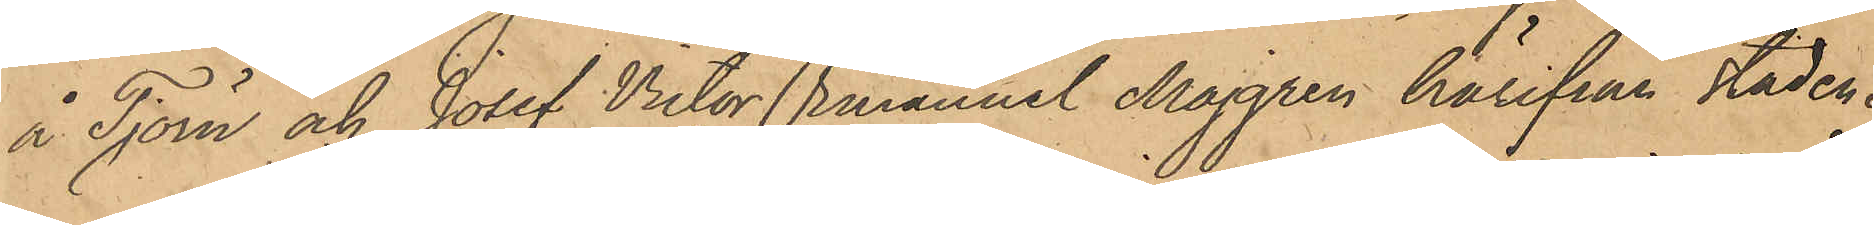å Tjörn och Josef Victor Emanuel Majgren härifrån staden.
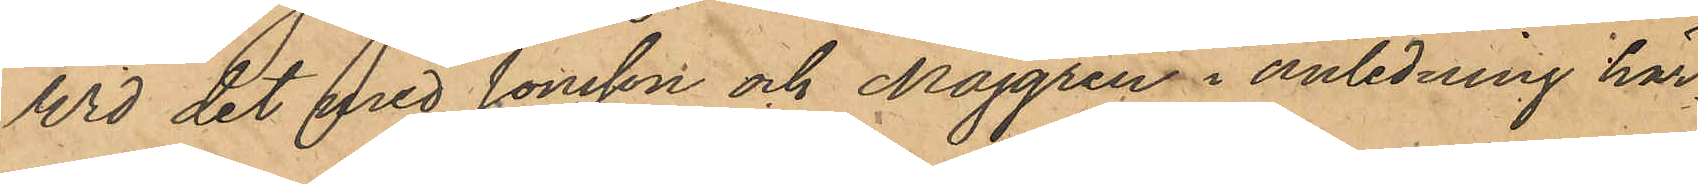Wid det med Jonsson och Majgren i anledning här¬
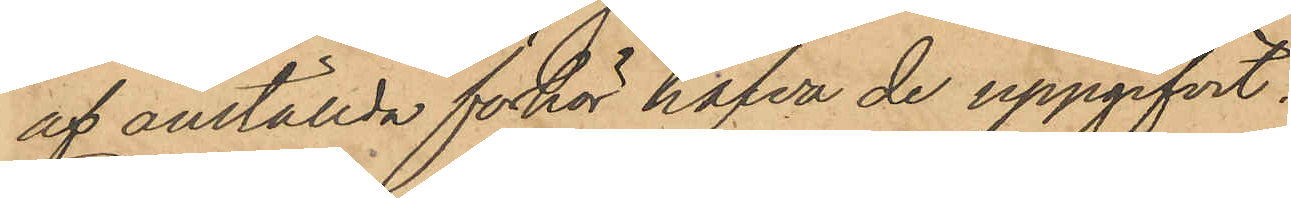af anställda förhör hafva de uppgifvit:
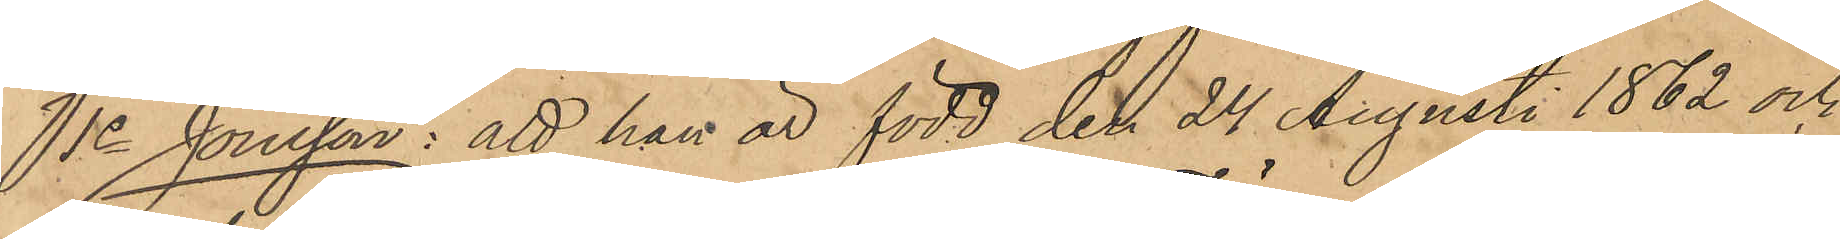1o Jonsson: att han är född den 24 Augusti 1862 och
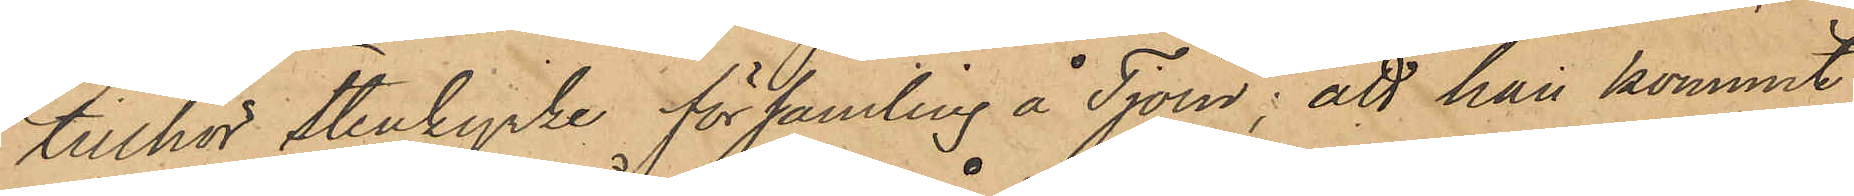tillhör Stenkyrke församling å Tjörn; att han kommit
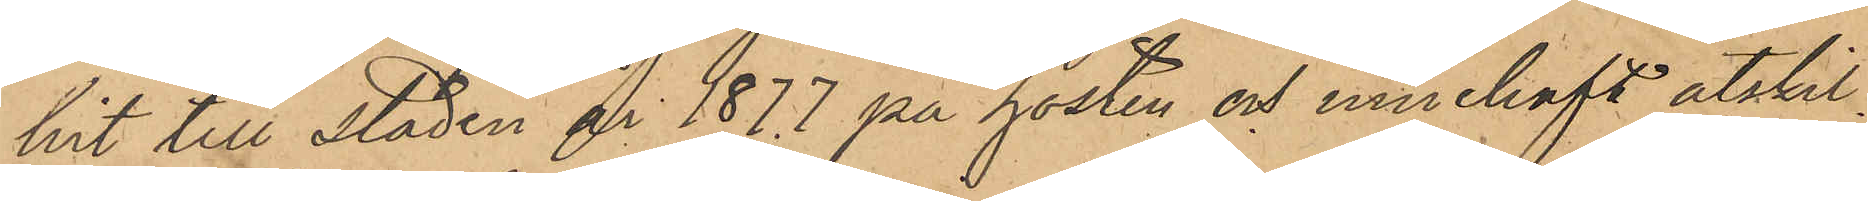hit till staden år 1877 på hösten och innehaft åtskil¬
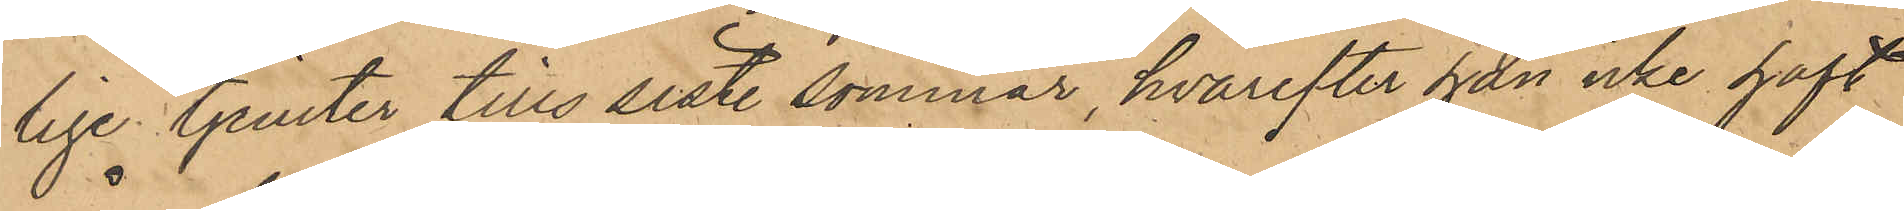lige tjenster tills siste sommar, hvarefter han icke haft
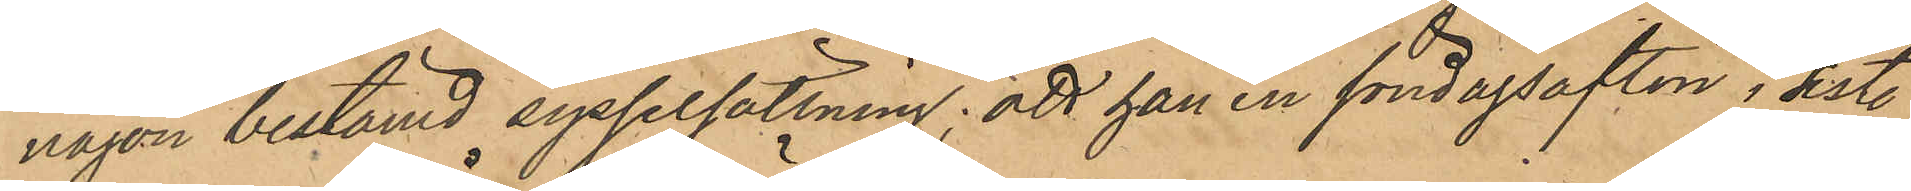någon bestämd sysselsättning; att han en söndagsafton i sist.
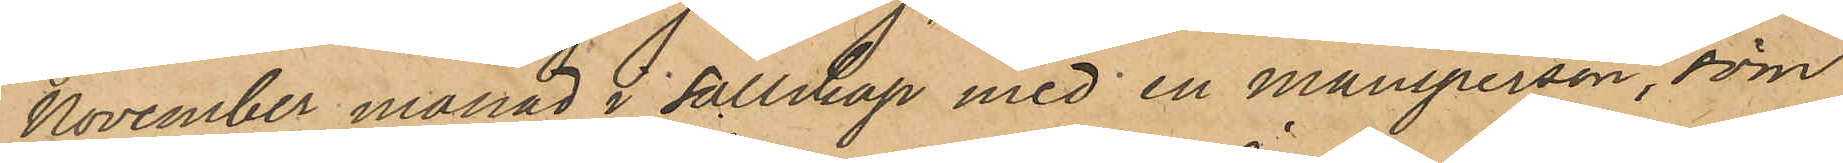November månad i sällskap med en mansperson, som
